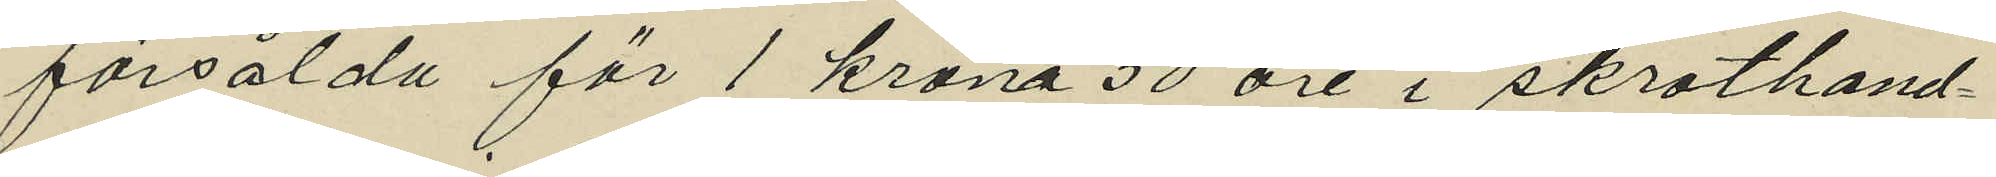försålda för 1 krona 50 öre i skrothand¬
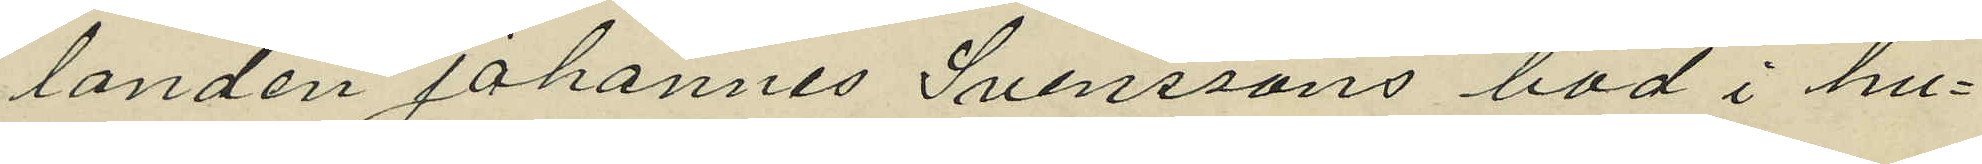landen Johannes Svenssons bod i hu¬
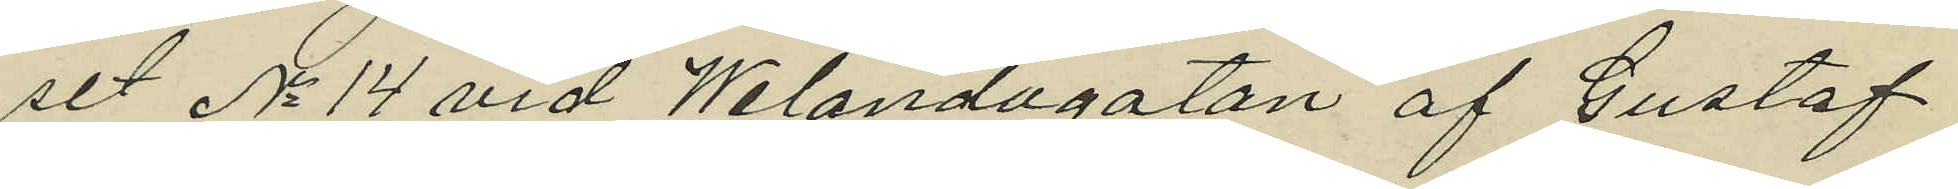set No 14 vid Welandagatan af Gustaf
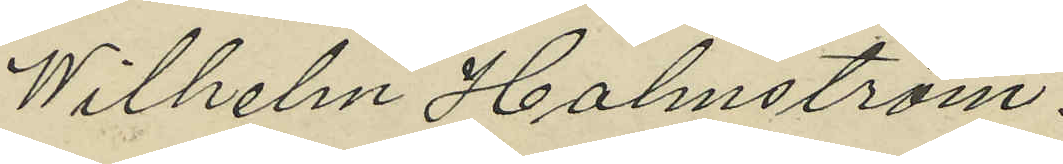Wilhelm Holmström.
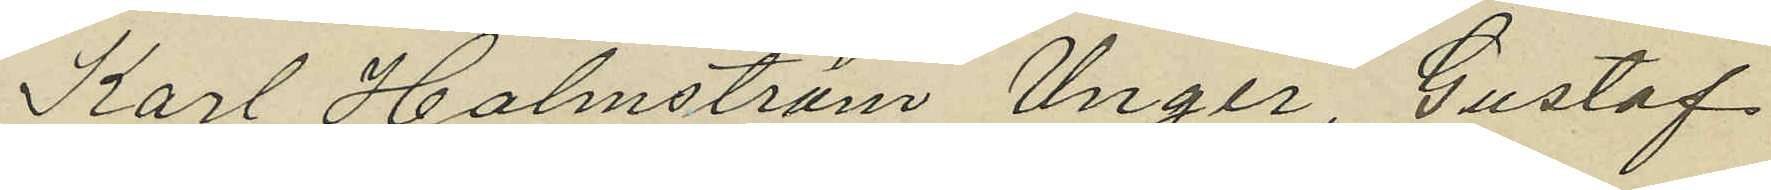Karl Holmström Unger, Gustaf
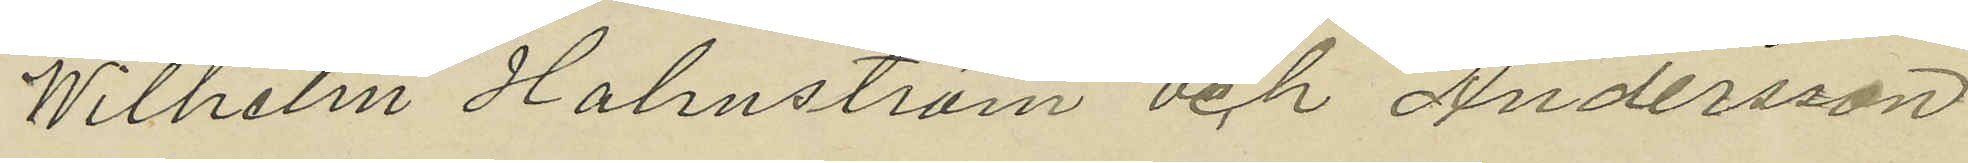Wilhelm Holmström och Andersson
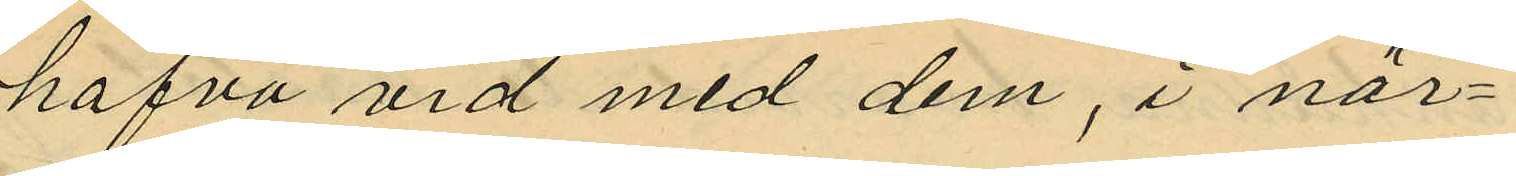hafva vid med dem, i när¬
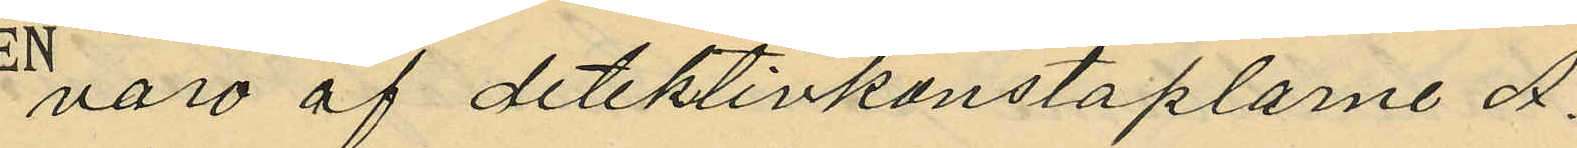varo af detektivkonstaplarne A.
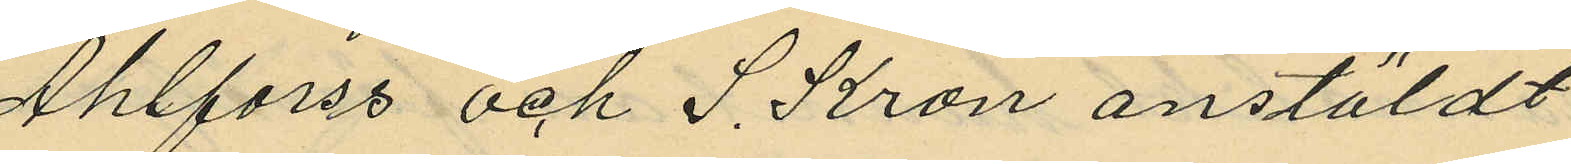Ahlforss och S. Kron anstäldt
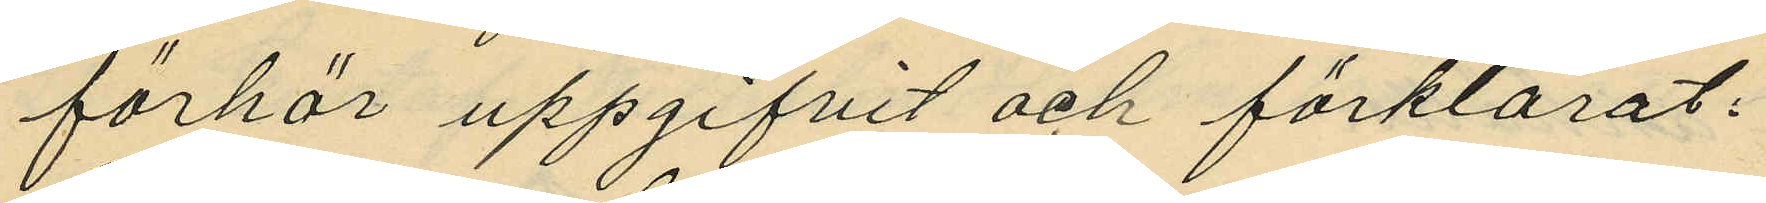förhör uppgifvit och förklarat:
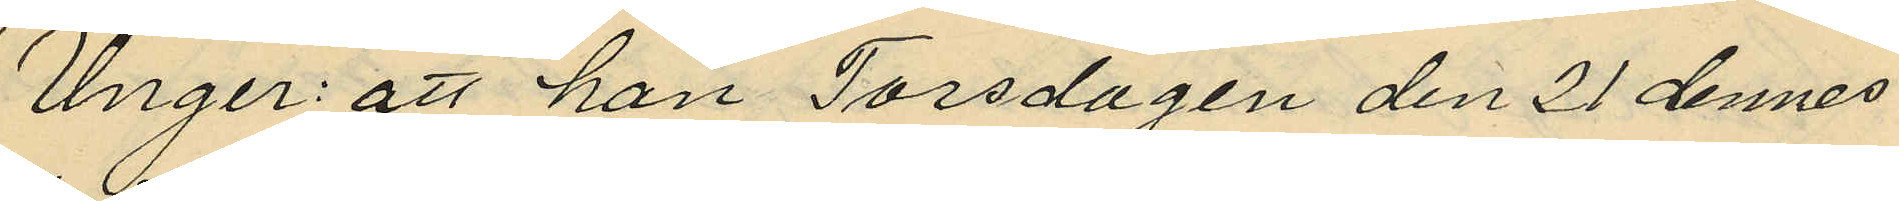Unger: att han Torsdagen den 21 dennes
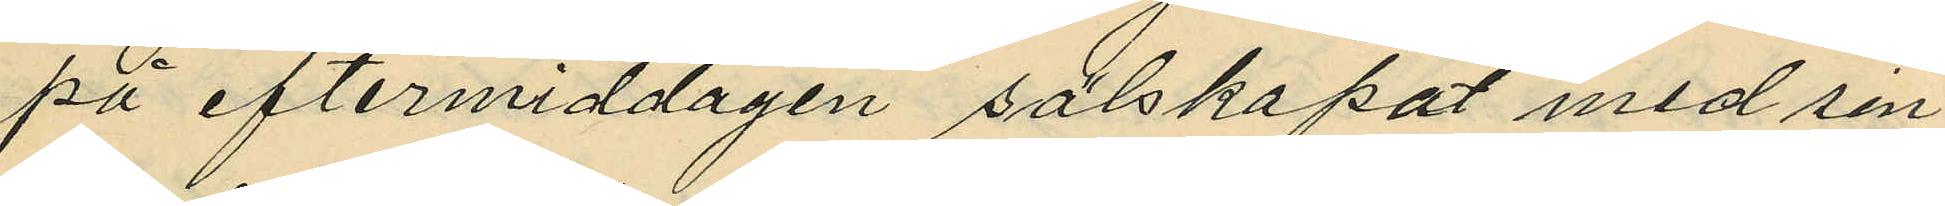på eftermiddagen sälskapat med sin
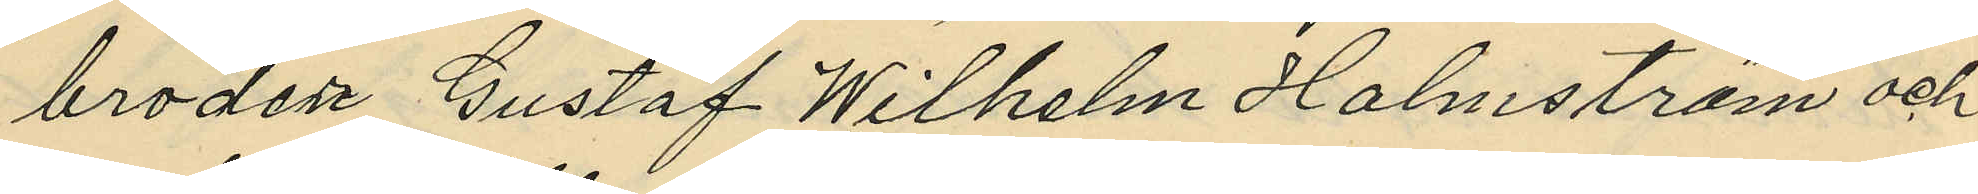broder Gustaf Wilhelm Holmström och
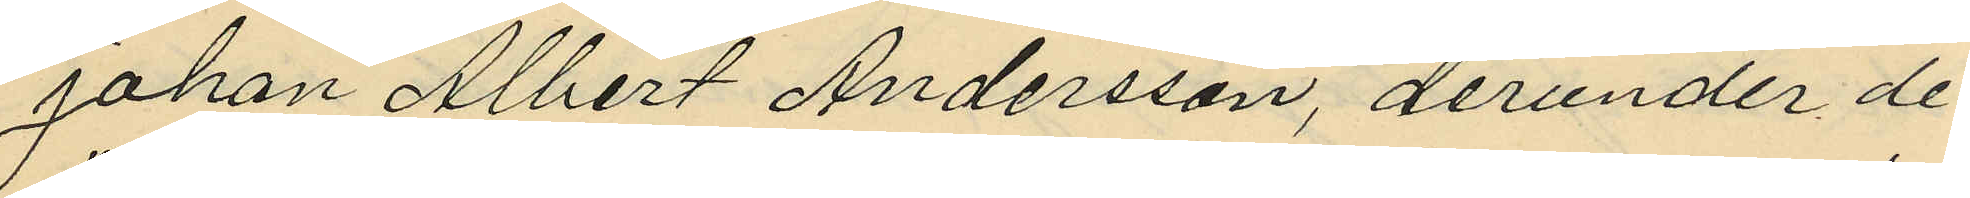Johan Albert Andersson, derunder de
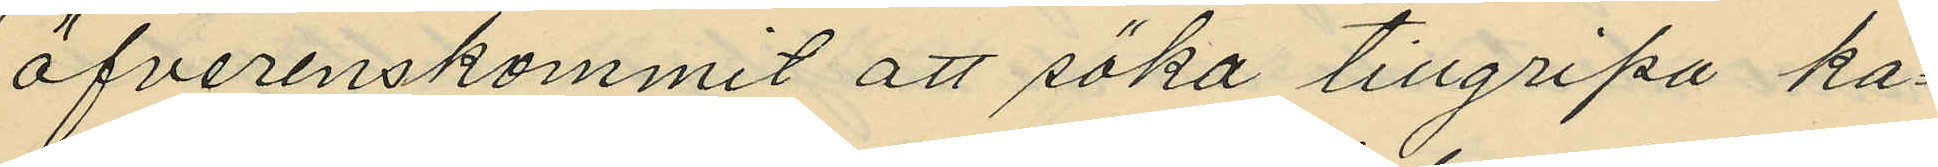öfverenskommit att söka tillgripa ka¬
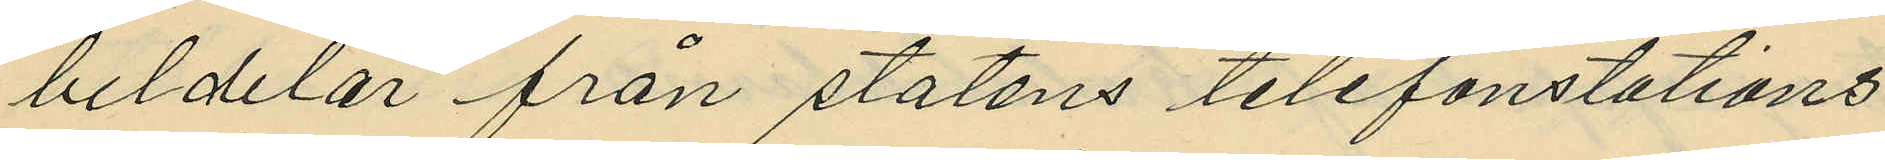beldelar från statens telefonstations
